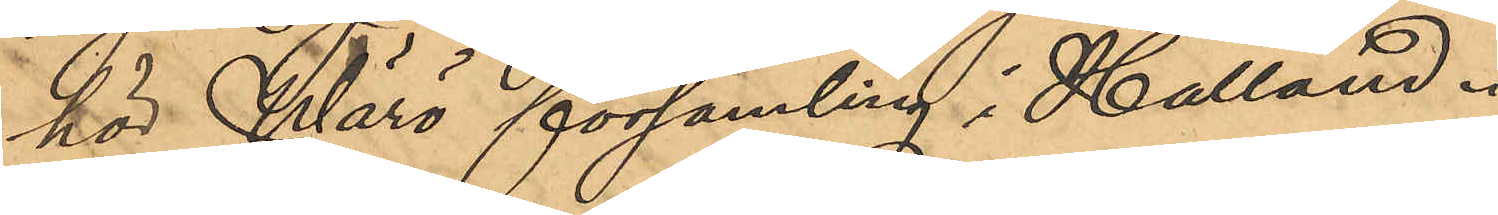hör Wärö församling i Halland.
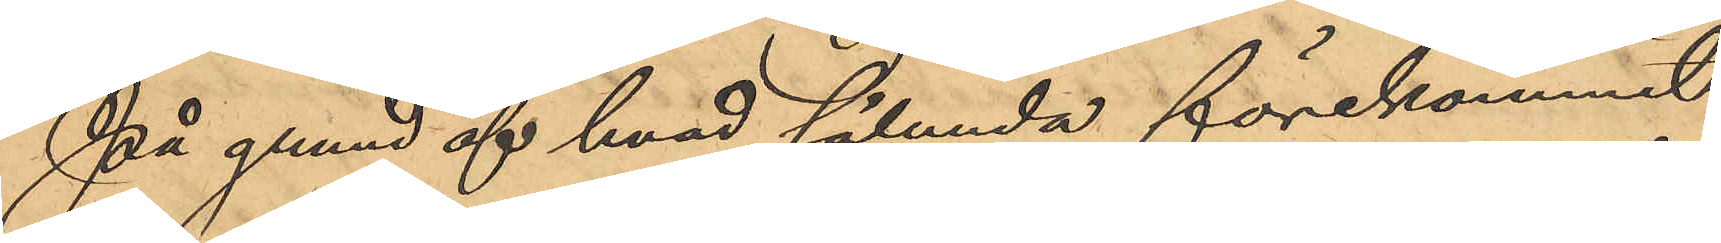På grund af hvad sålunda förekommit
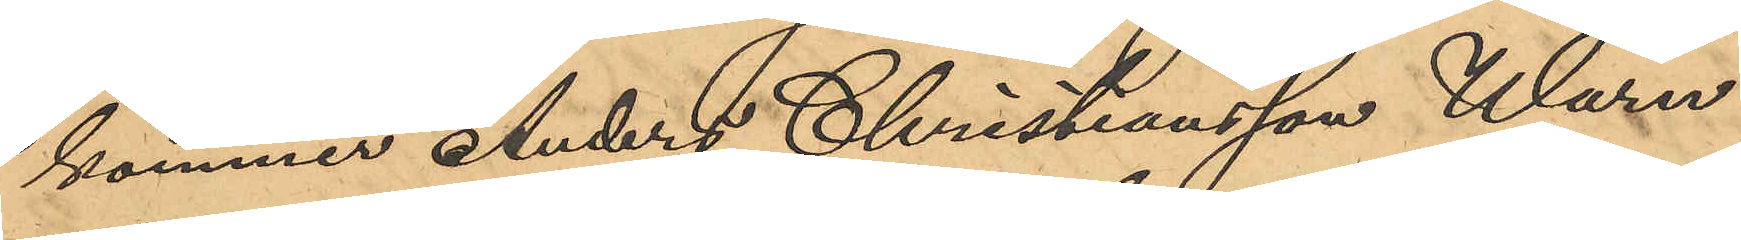kommer Anders Christiansson Wärn
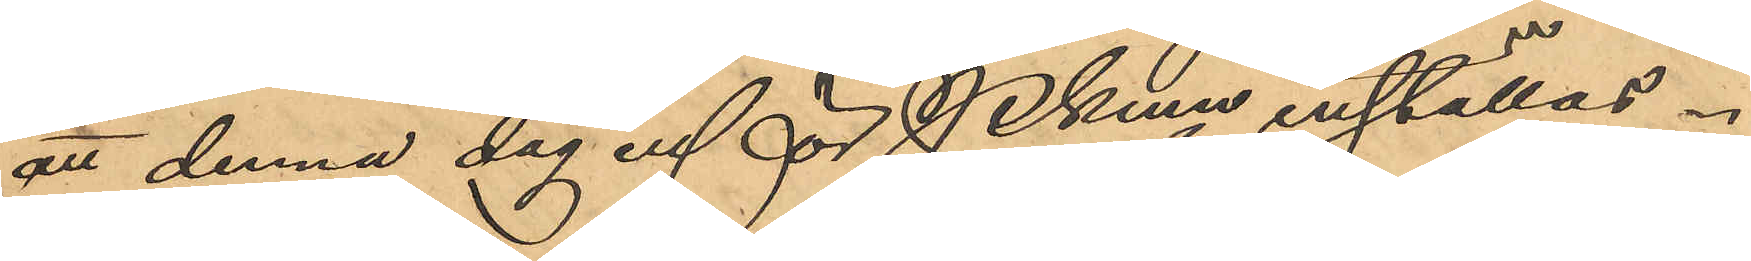att denna dag inför Pkmn inställas.
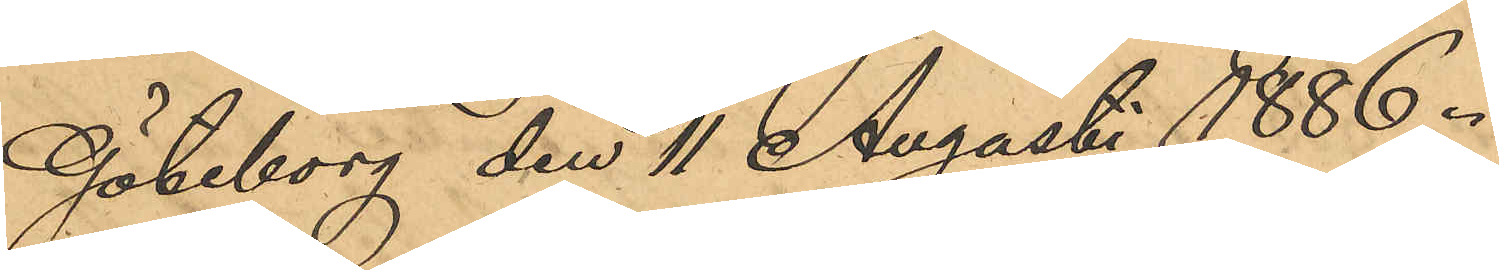Göteborg den 11 Augusti 1886.
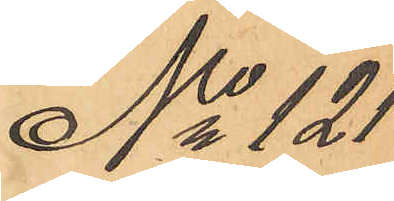No 121
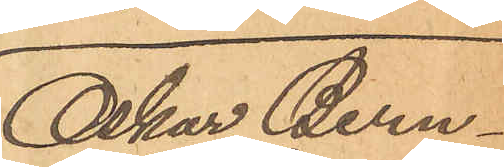Oskar Bern¬
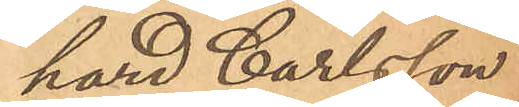hard Carlsson
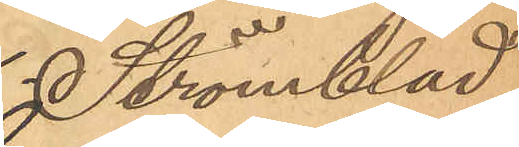Strömblad
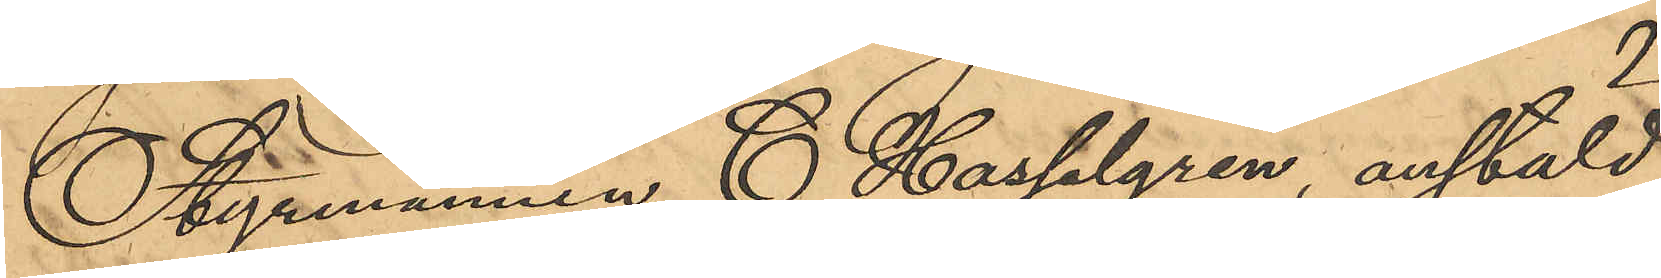Styrmannen C. Hasselgren, anstäld
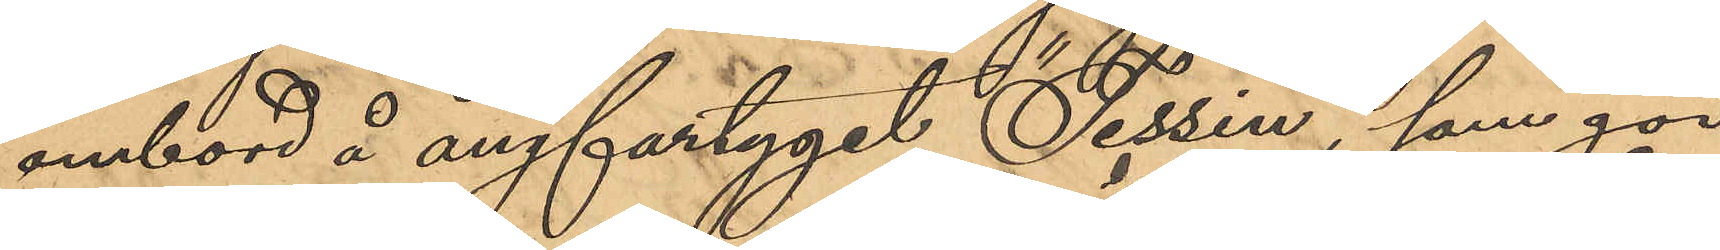ombord å ångfartyget "Tessin", som gör
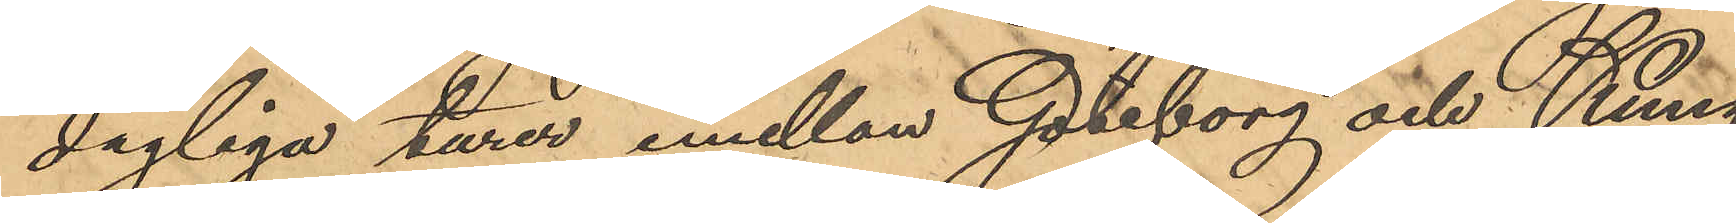dagliga turer emellan Göteborg och Kung¬
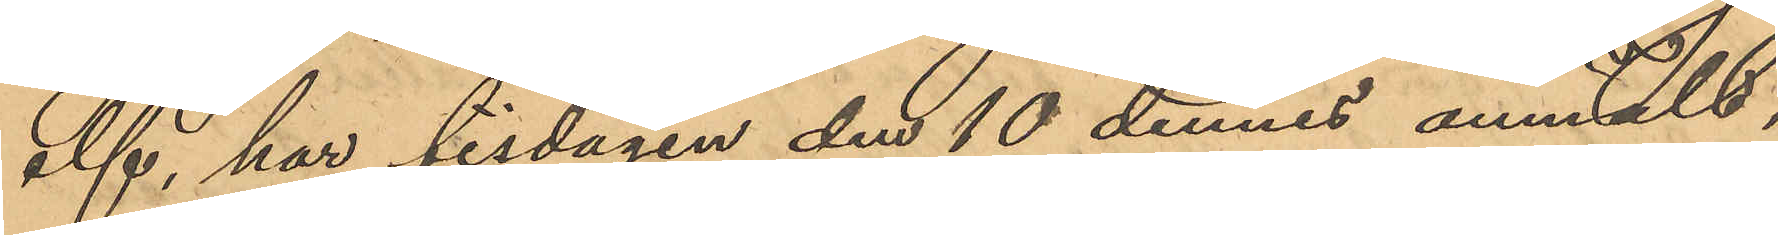elf, har tisdagen den 10 dennes anmält,
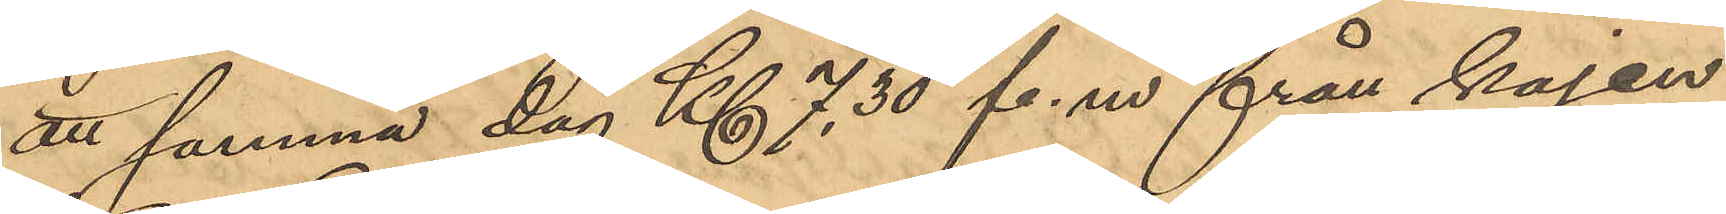att samma dag Kl 7,30 f.m från kajen
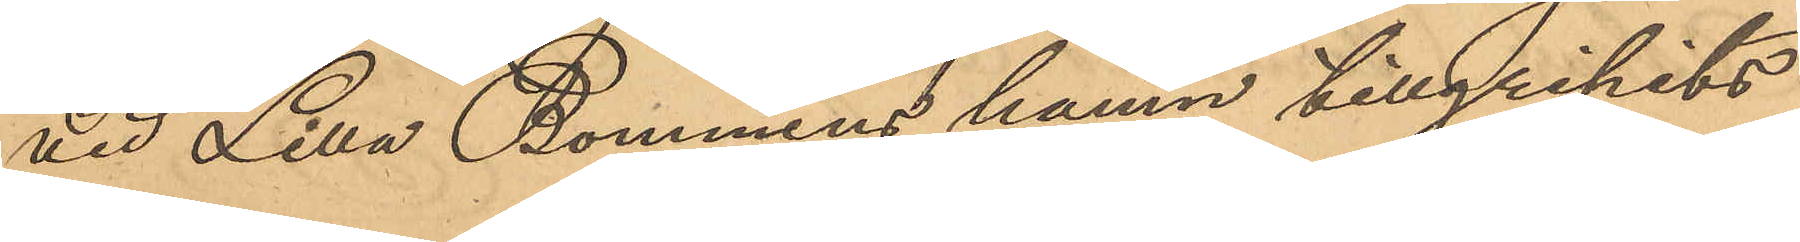vid Lilla Bommens hamn tillgripits
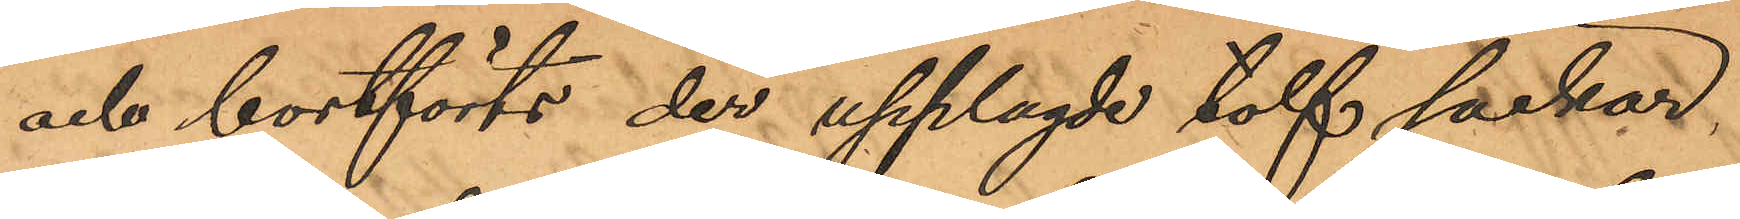och bortförts der upplagde tolf säckar,
